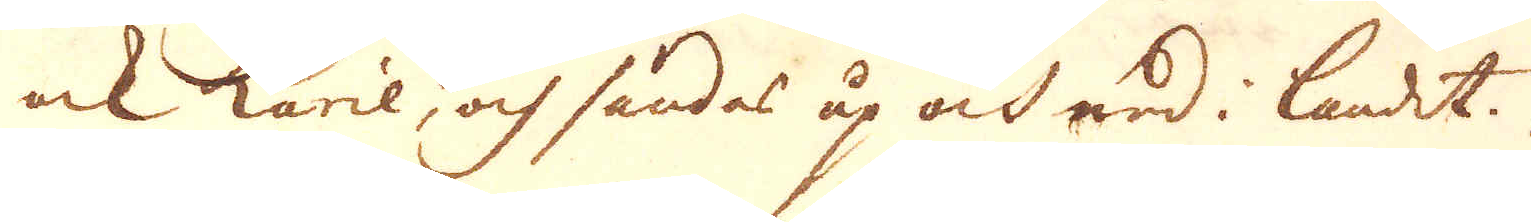ock käril, och sändas up och ned i landet.
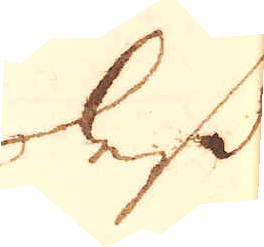Dess
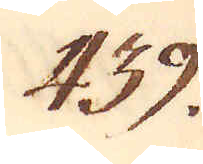439.
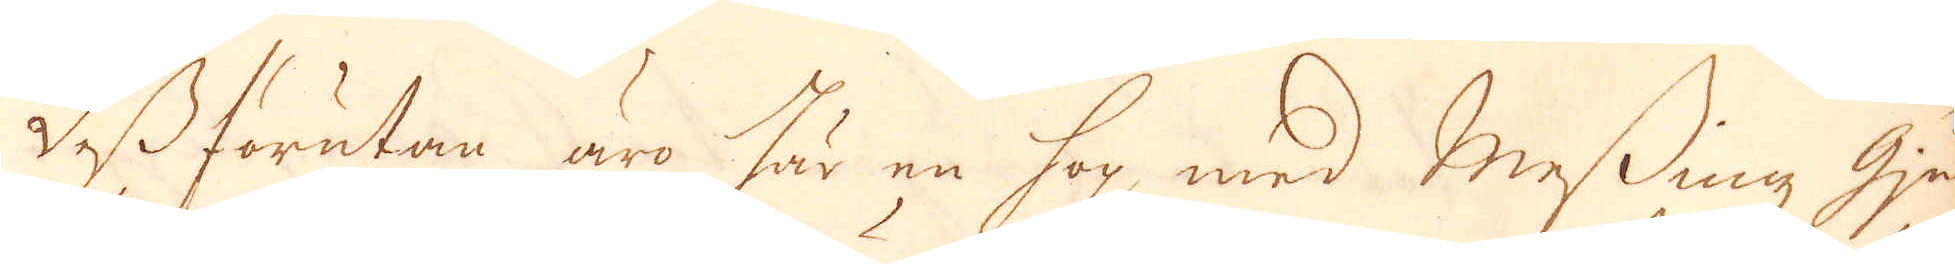Dessförutan äro här en hop med messing Gu-
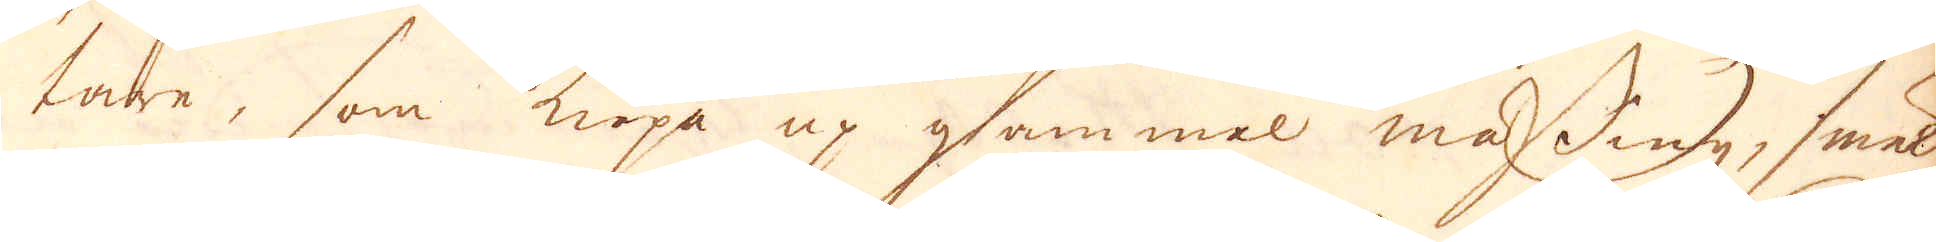tare, som köpa up gammal mässing, smäl-
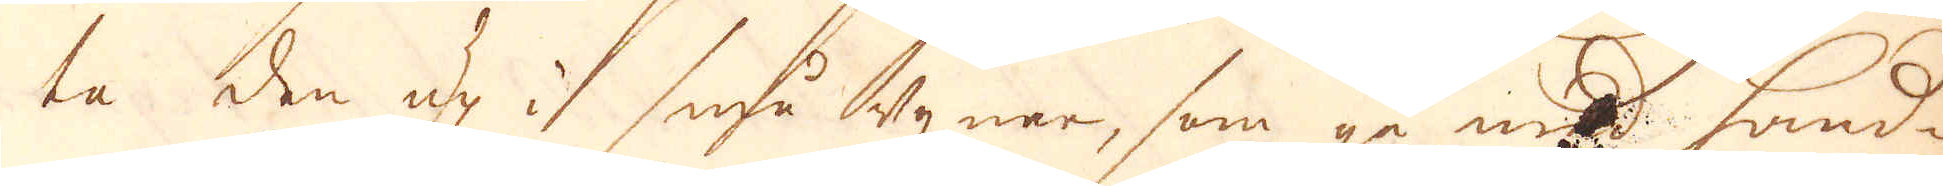ta den up i små ugnar, som gå med hand-
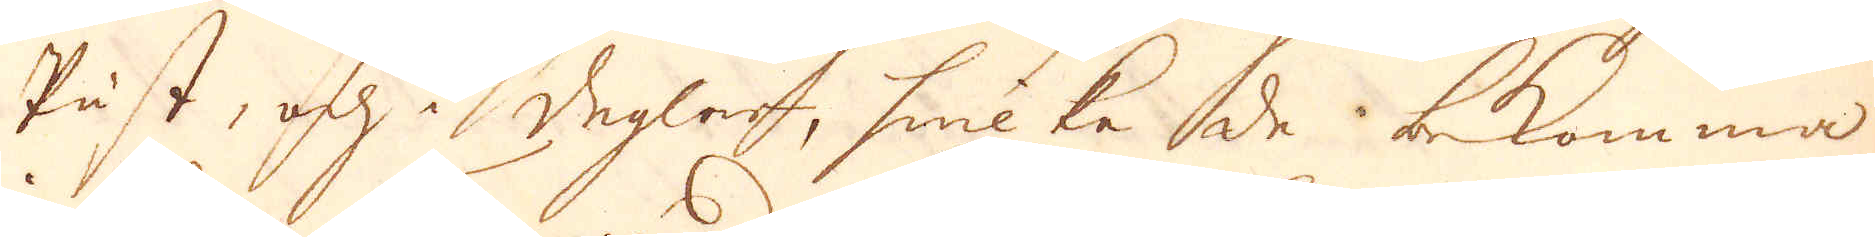Påst, och i deglar, hwilke de bekomma
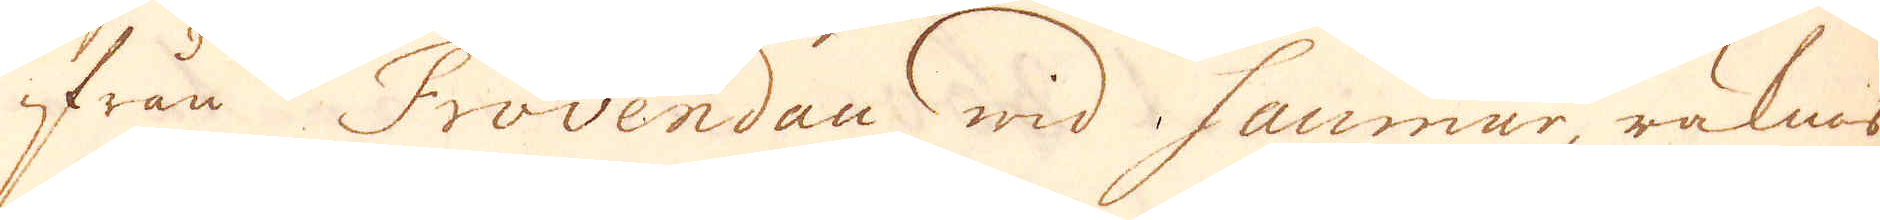ifrån Frovendau wid Saumur, räknas
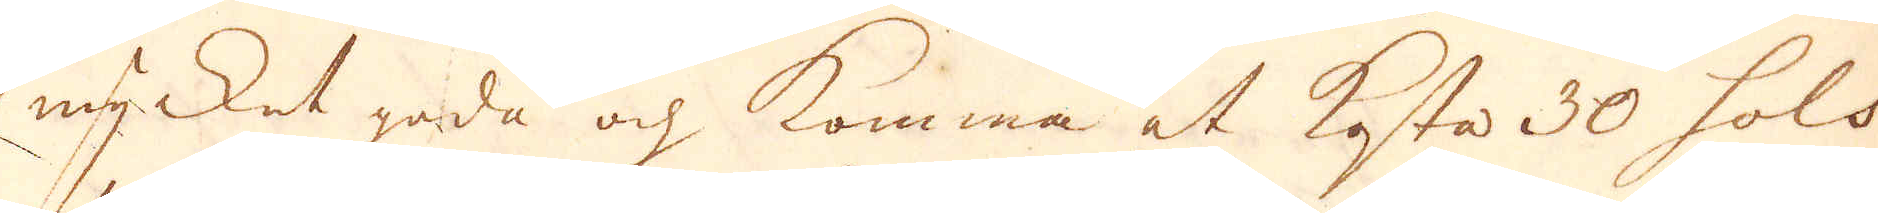mycket goda och komma at kasta 30 sols
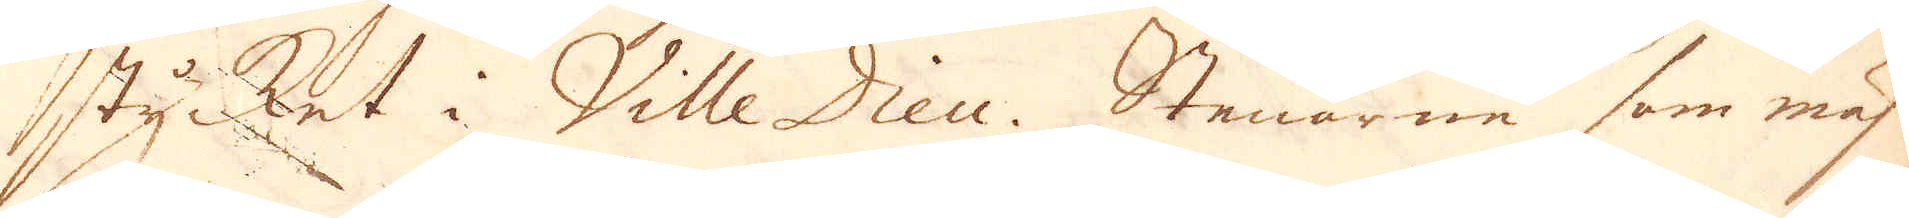stycket i Ville Dieu. Stenarne som mäs-
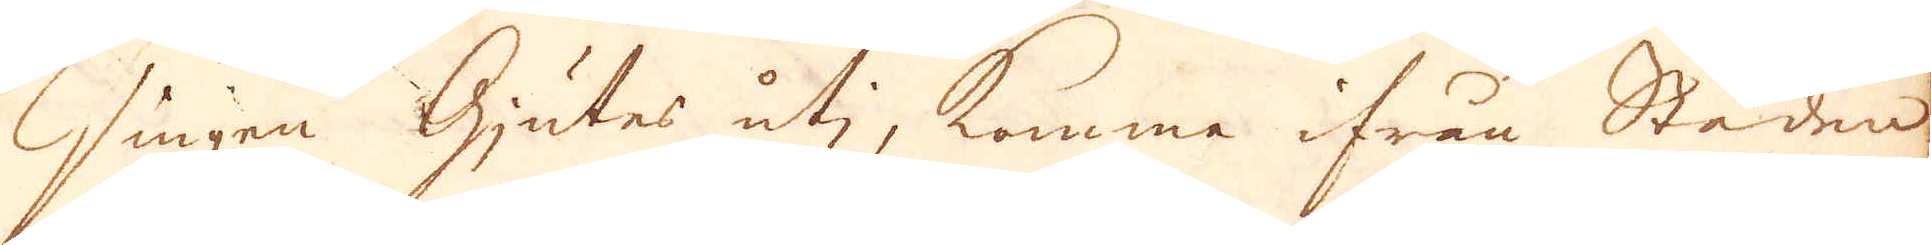singen Gjutes uti, komma ifrån Staden
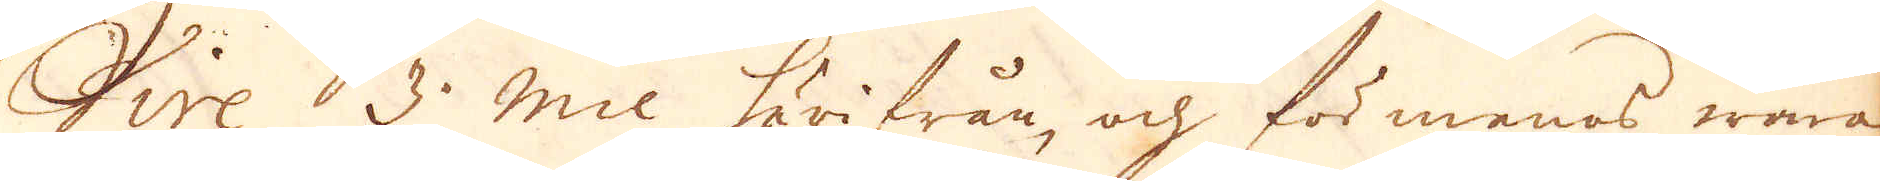Vire 3 mil härifrån och förmenas wara
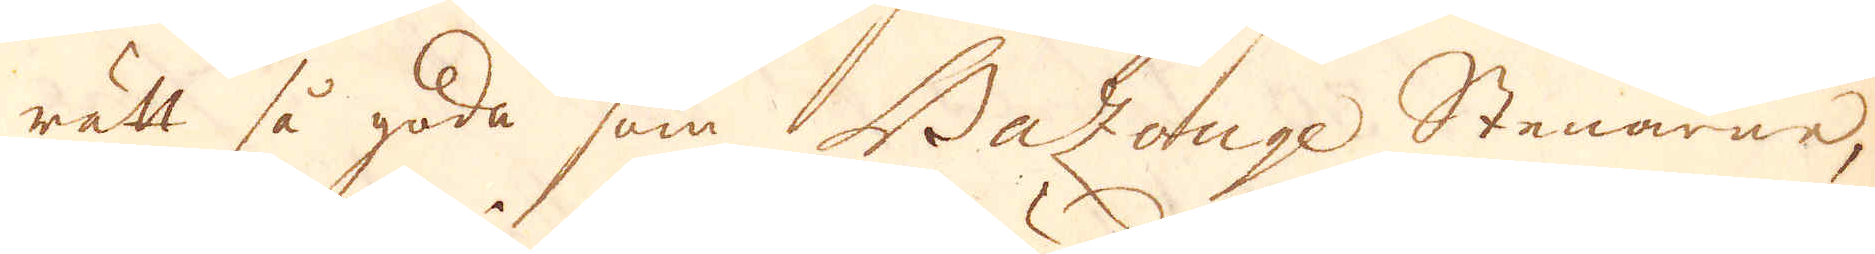rätt så goda som Bazonge Stenarne,
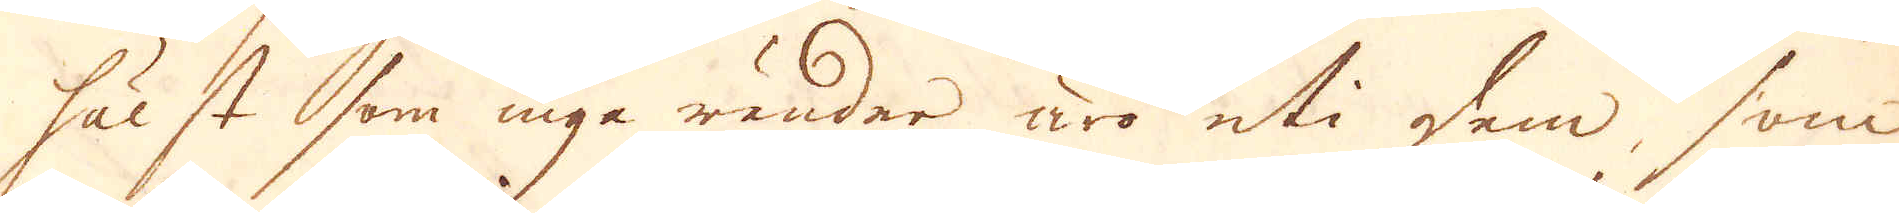hälst som inga ränder äro uti dem, som
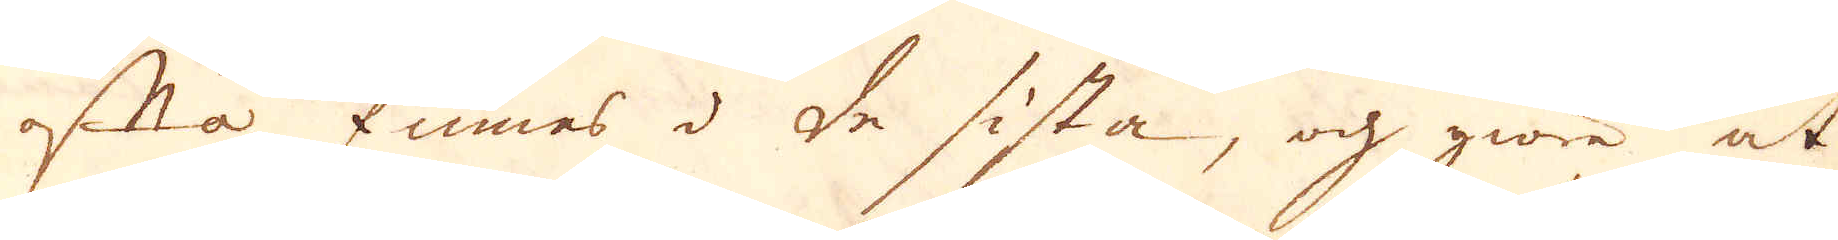ofta finnes i de sista, och giöra at
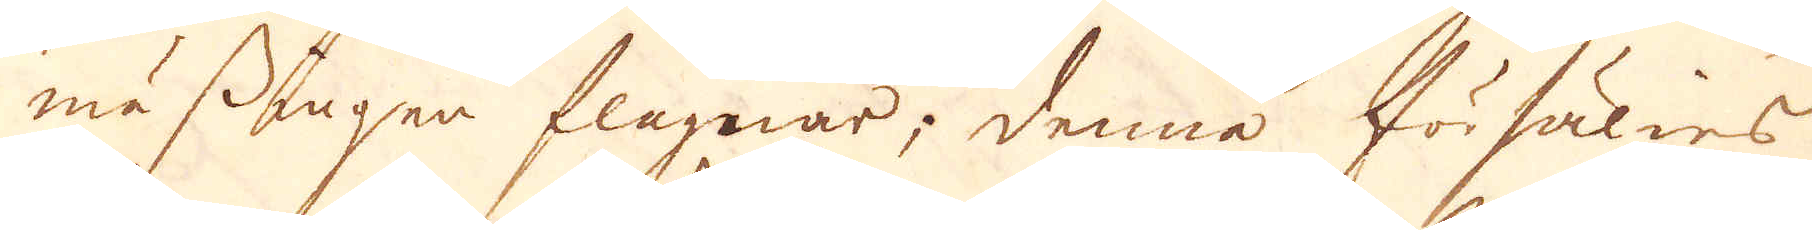mässingen flagnar; denna förshälies
